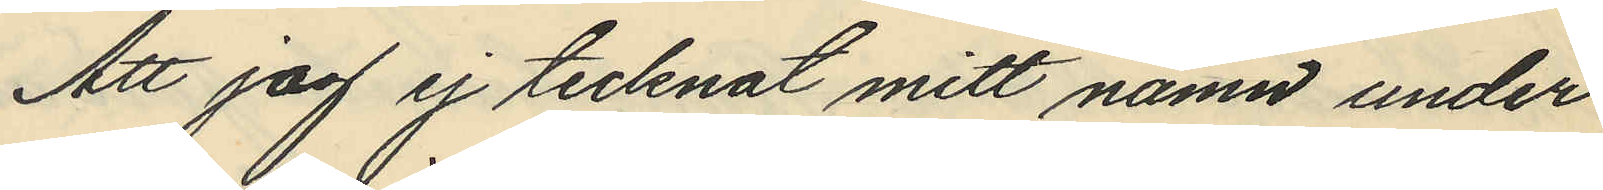Att jag ej tecknat mitt namn under
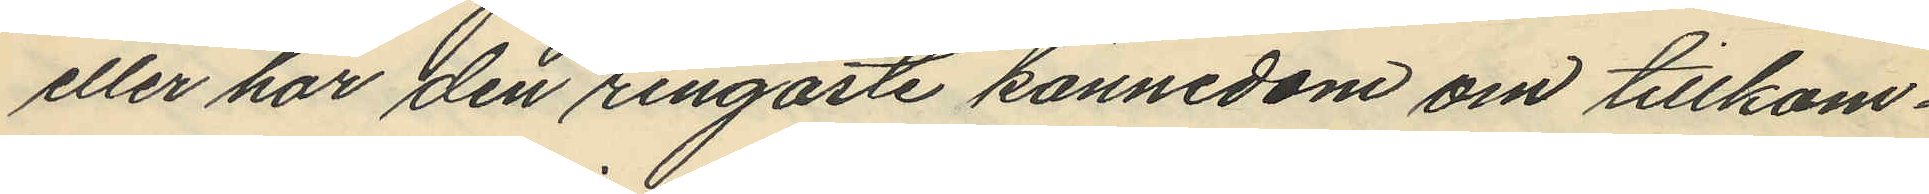eller har den ringaste kännedom om tillkom¬
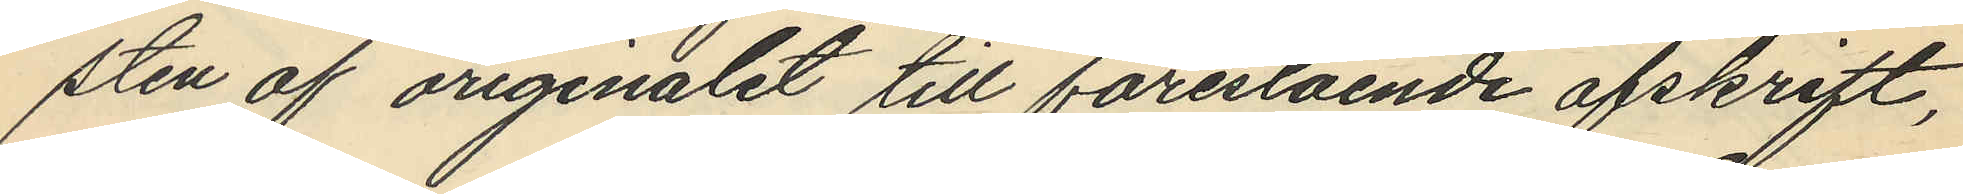sten af originalet till förestående afskrift,
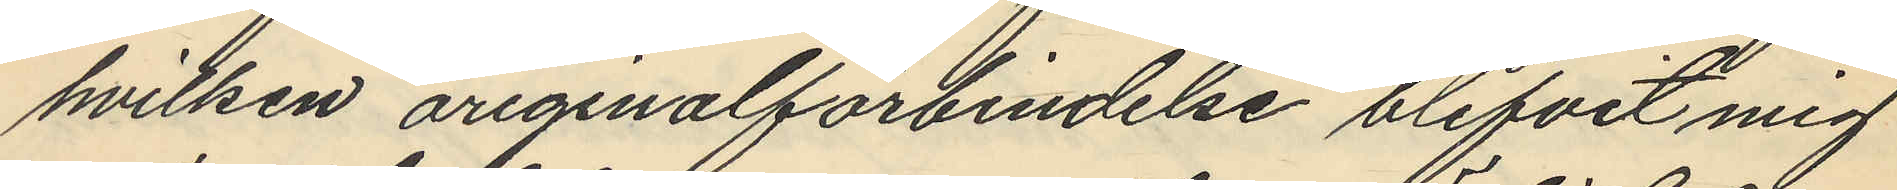hvilken originalförbindelse blifvit mig
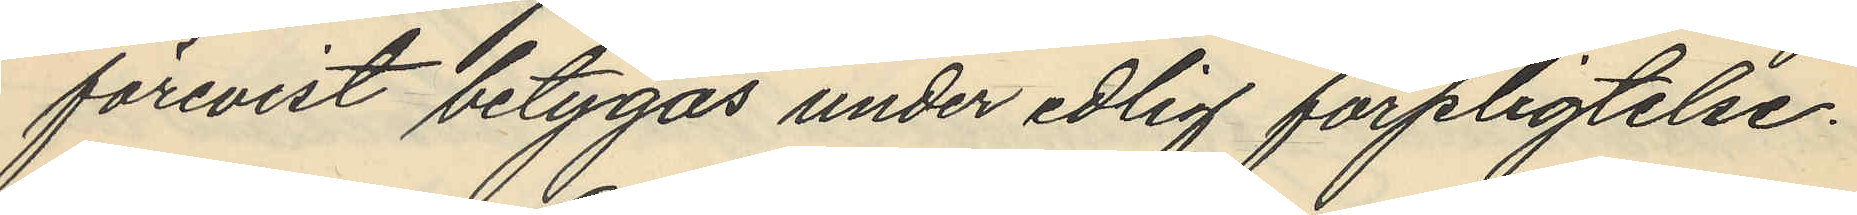förevist betygas under edlig förpligtelse.
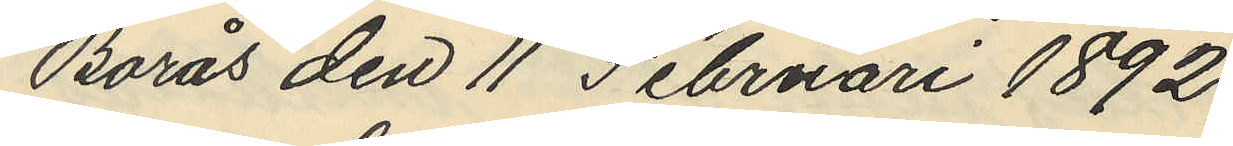Borås den 11 Februari 1892.
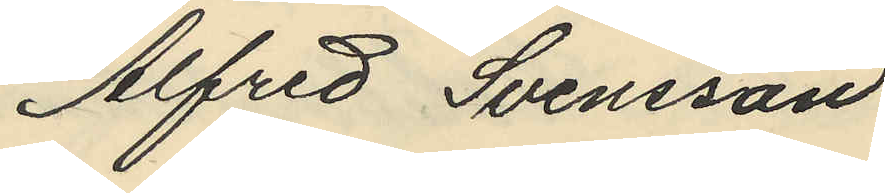Alfred Svensson
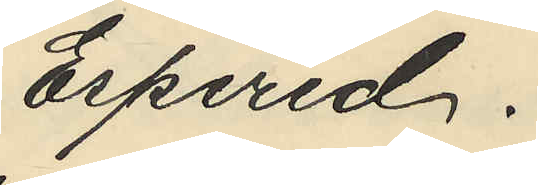Espered.
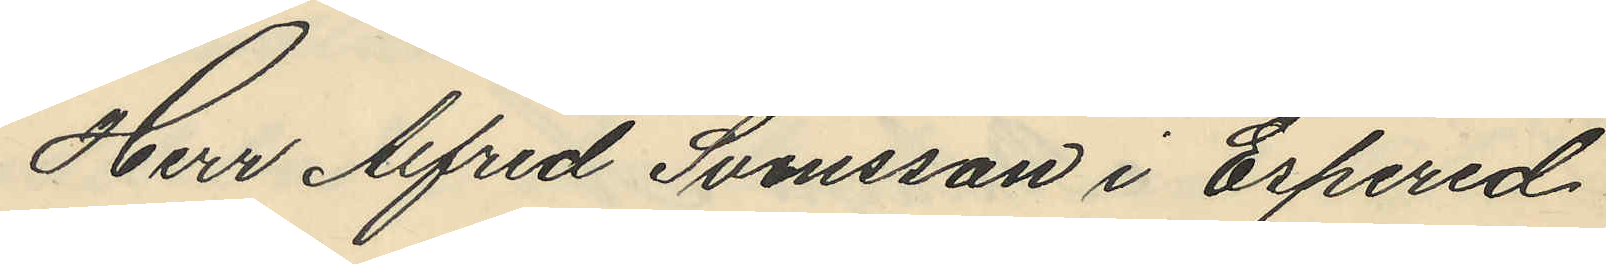Herr Alfred Svensson i Erpered
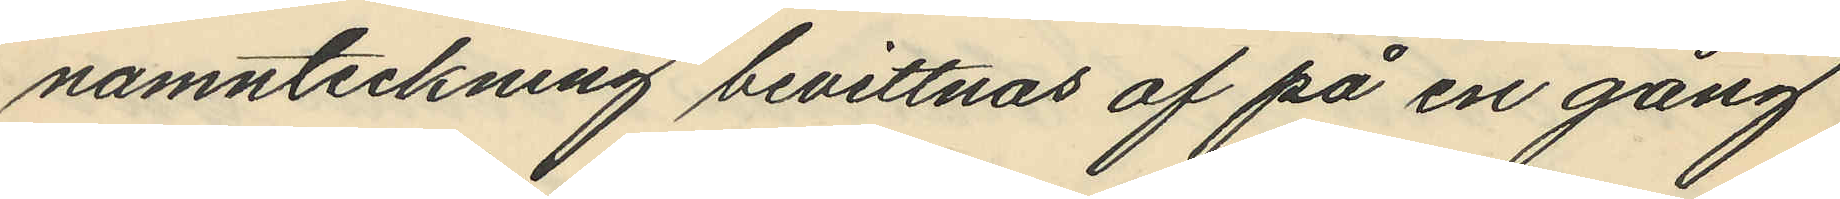namnteckning bevittnas af på en gång
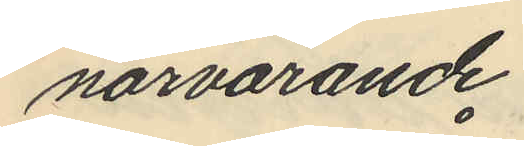närvarande
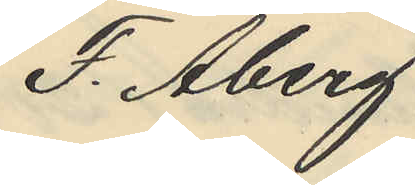F. Åberg
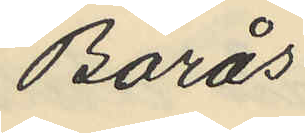Borås
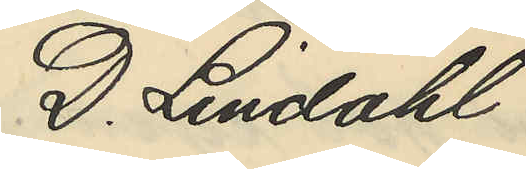D. Lindahl
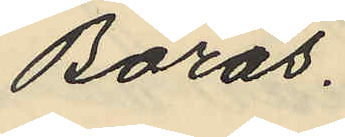Borås.
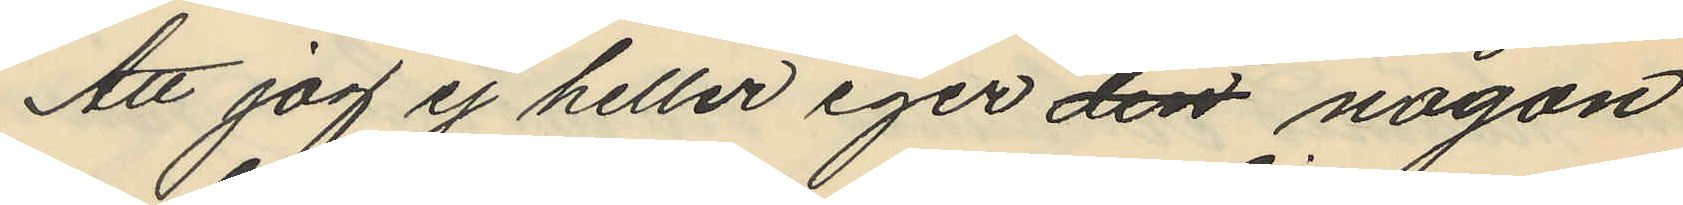Att jag ej heller eger den någon
